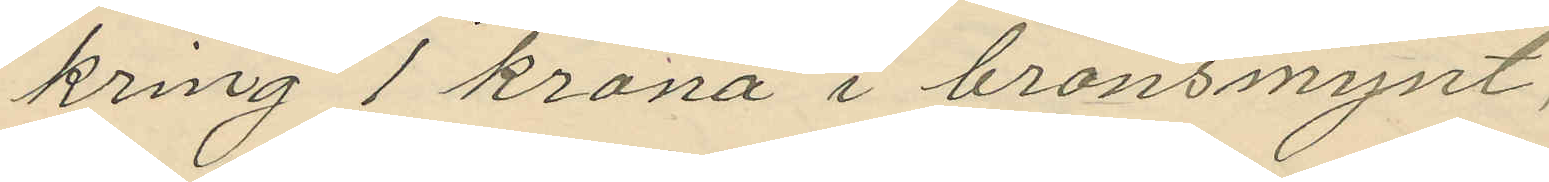kring 1 krona i bronsmynt;
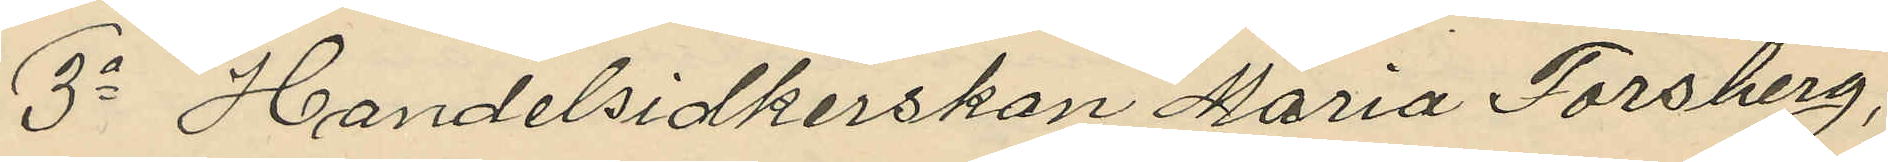3o Handelsidkerskan Maria Forsberg,
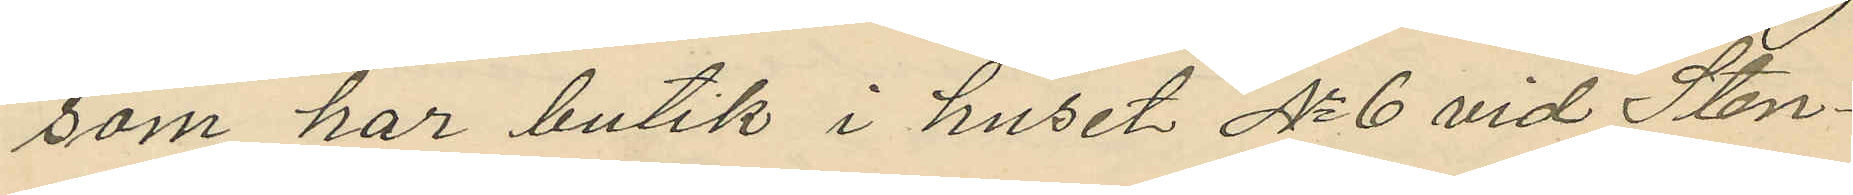som har butik i huset No 6 vid Sten¬
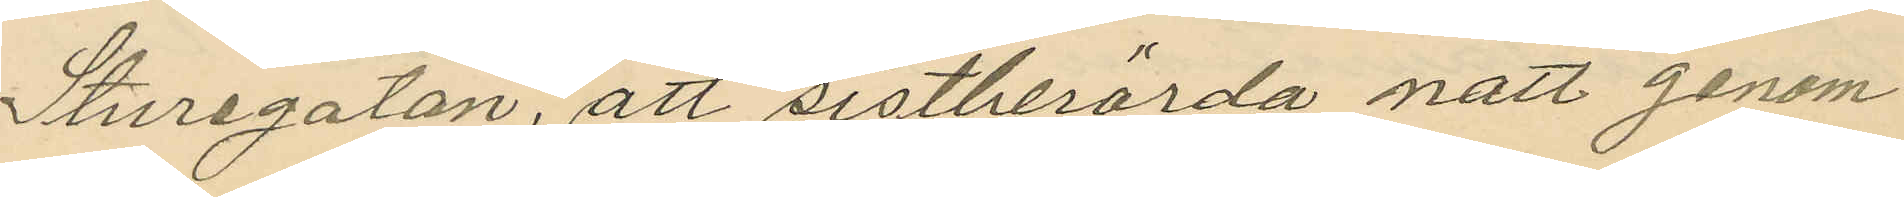Sturegatan, att sistberörda natt genom
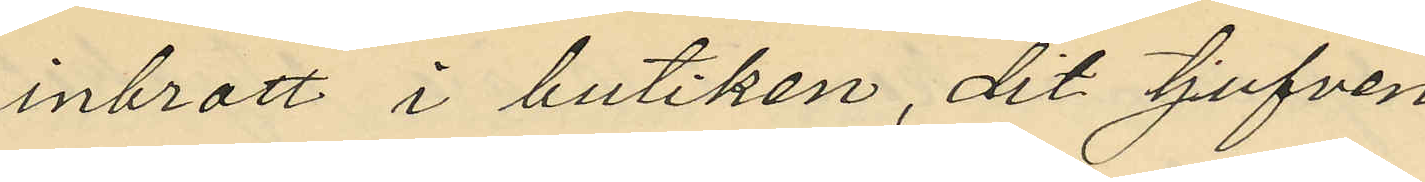inbrott i butiken, dit tjufven
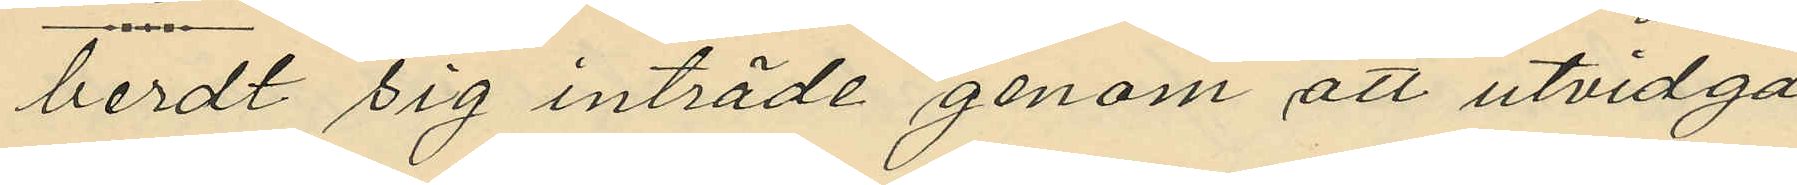berdt sig inträde genom att utvidga
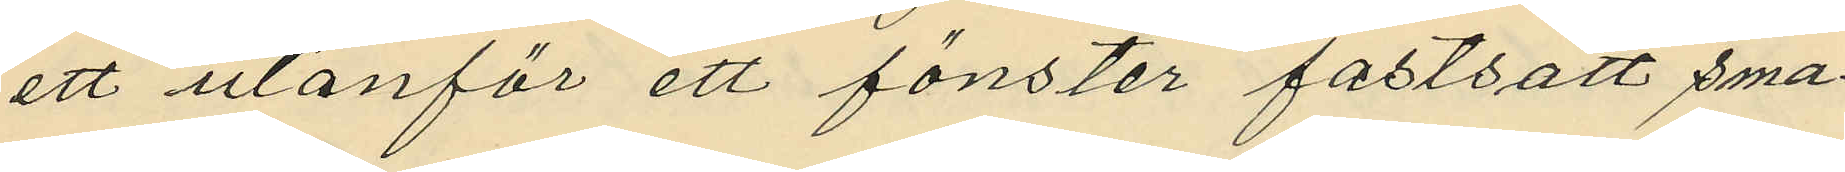ett utanför ett fönster fastsatt sma¬
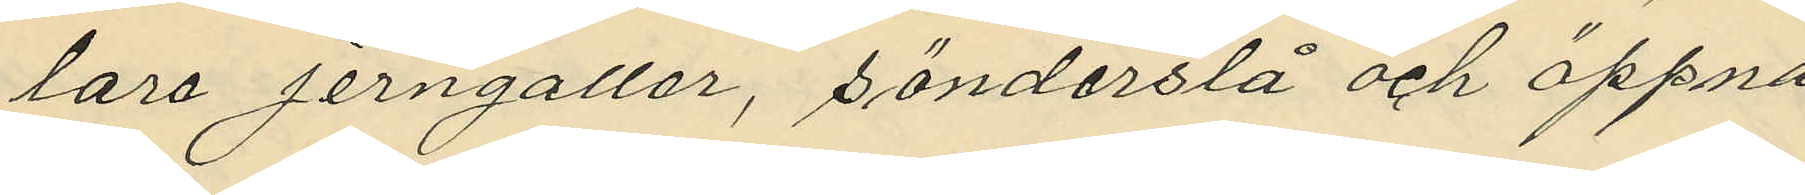lare jerngaller, sönderslå och öppna
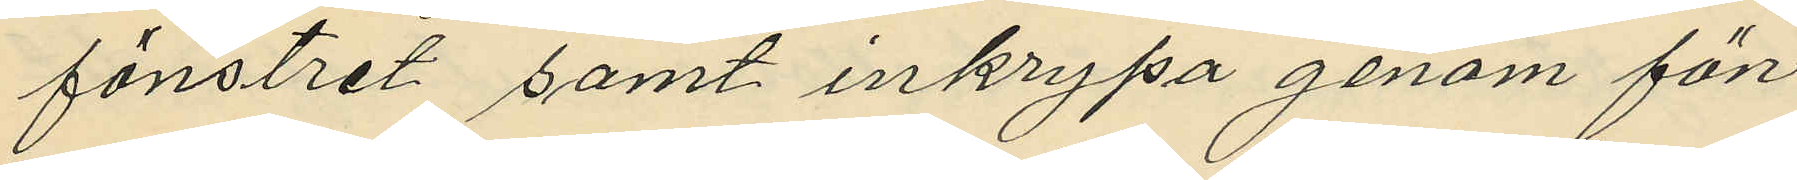fönstret samt inkrypa genom fön¬
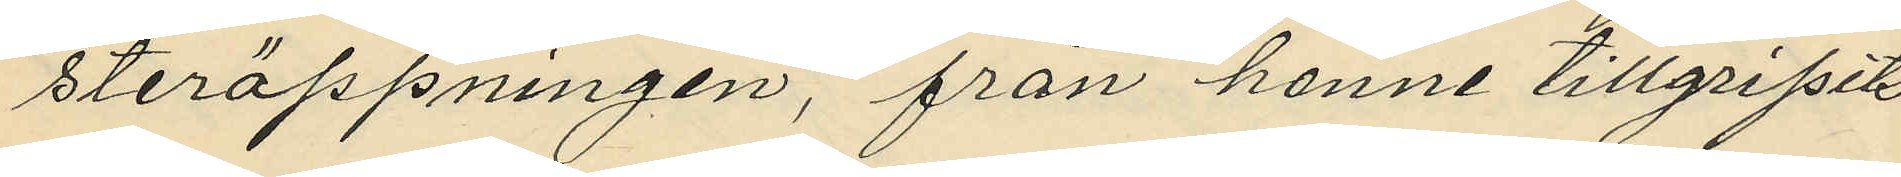steröppningen, från henne tillfripits
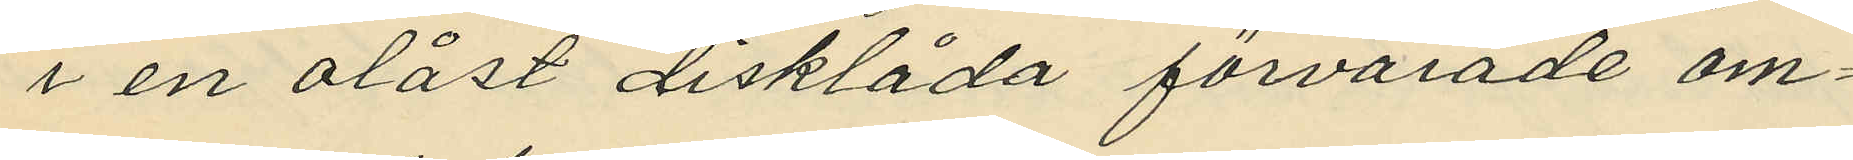i en olåst disklåda förvarade om¬
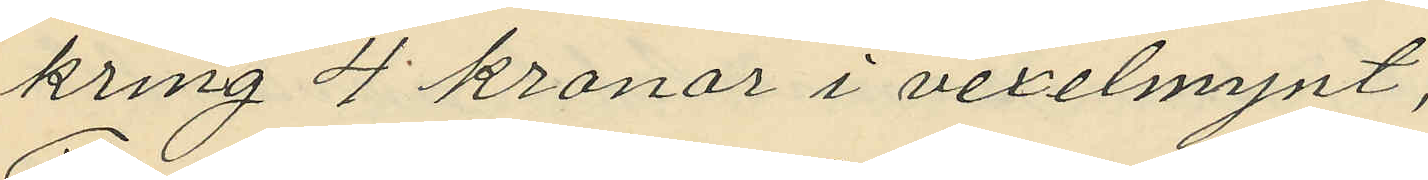kring 4 kronor i vexelmynt;
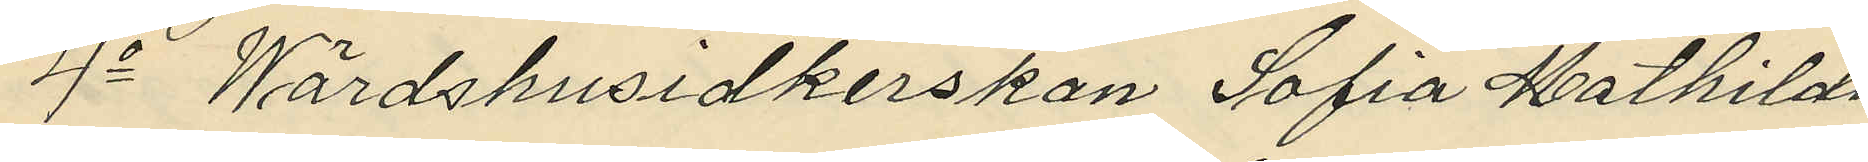4o Wärdshusidkerskan Sofia Mathilda 
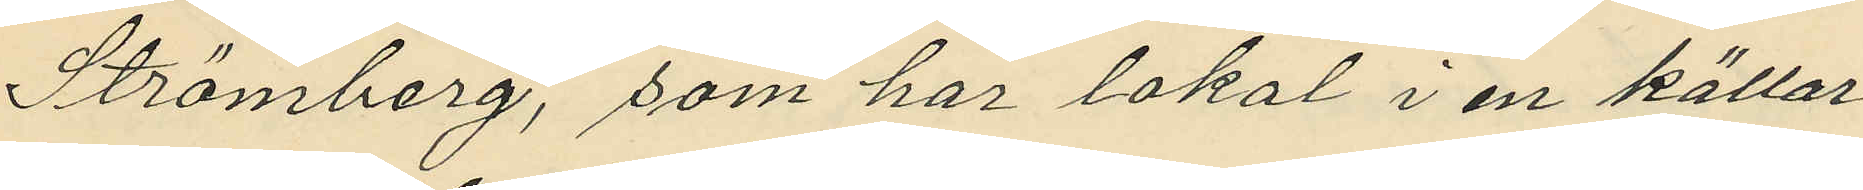Strömberg, som har lokal i en källar¬
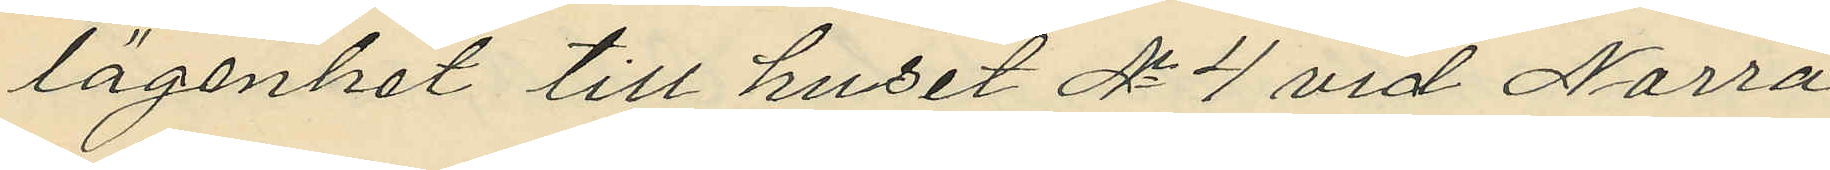lägenhet till huset No 4 vid Norra
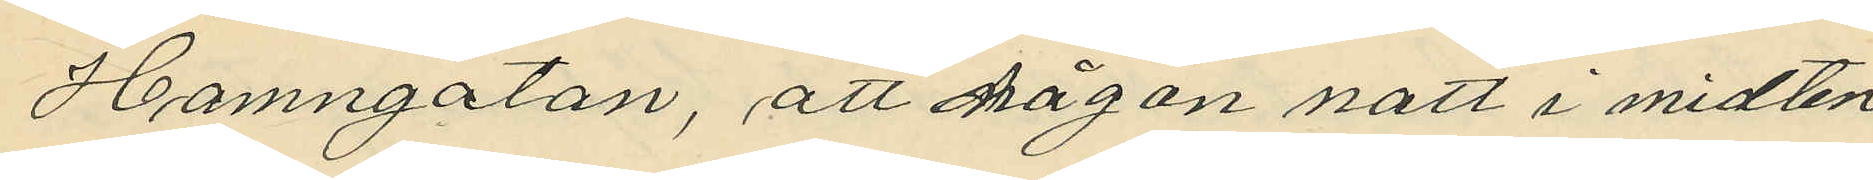Hamngatan, att någon natt i midten
